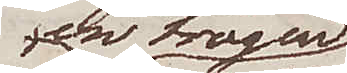en trägen
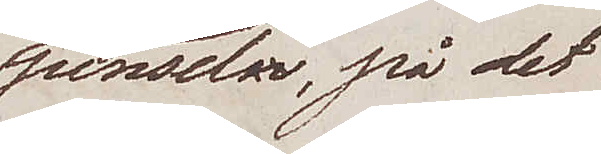pensel, på det
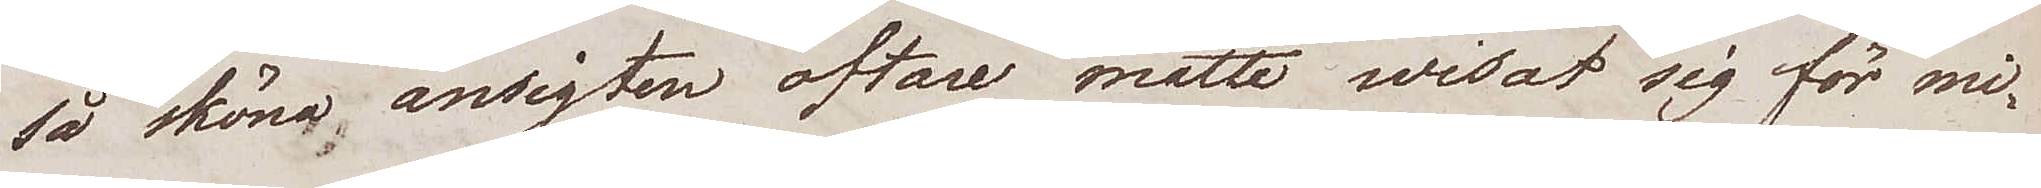så sköna ansigten oftare måtte wisat sig för mi¬
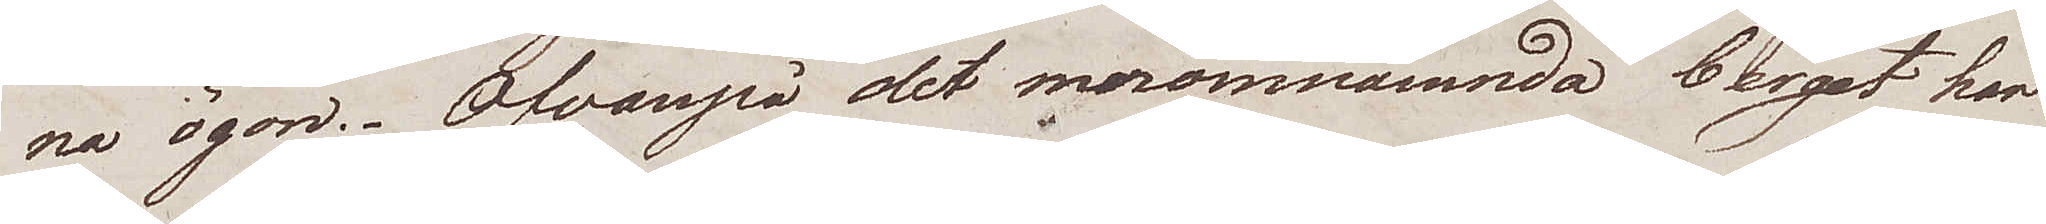na ögon. Ofvanpå det meromnämnda berget har
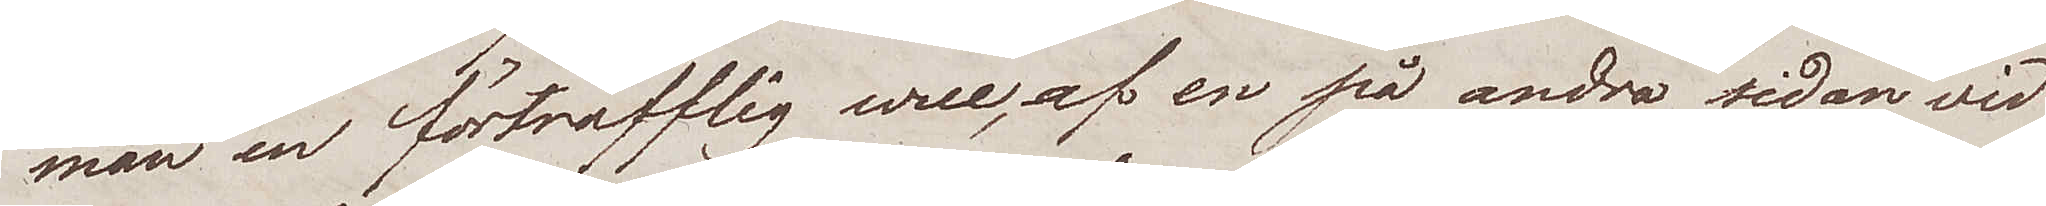man en förträfflig wue, af en på andra sidan vid
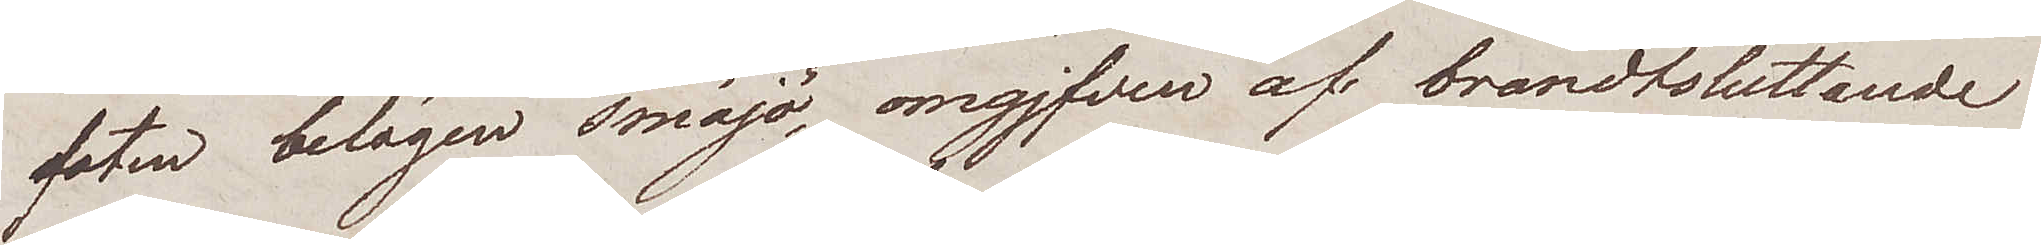foten belägen småjö, omgjfven af brandtsluttande
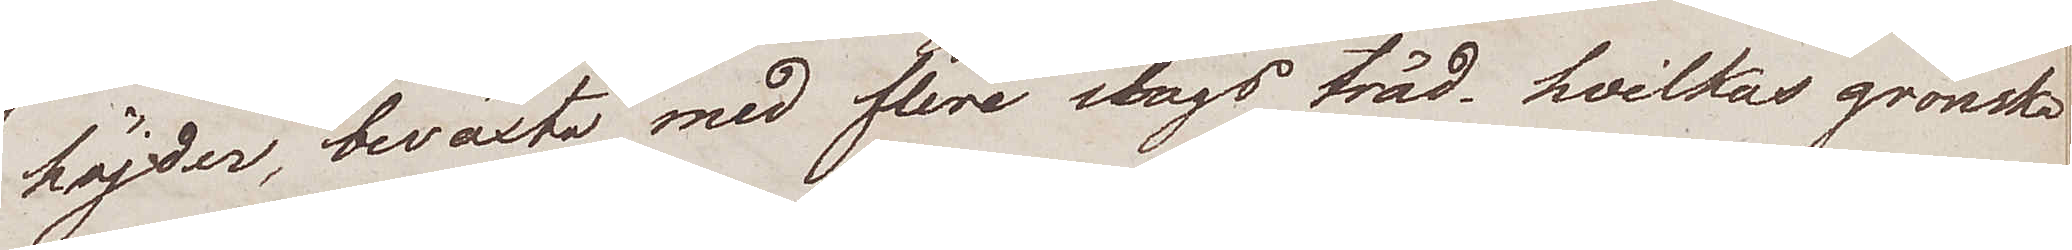höjder, beväxta med flere slags träd, hvilkas grönska
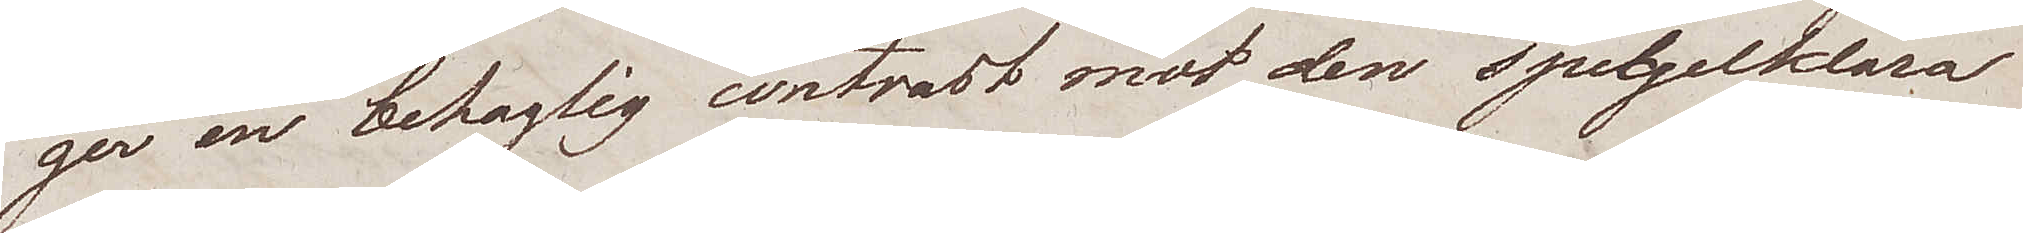ger en behaglig contrast mot den spelgelklara
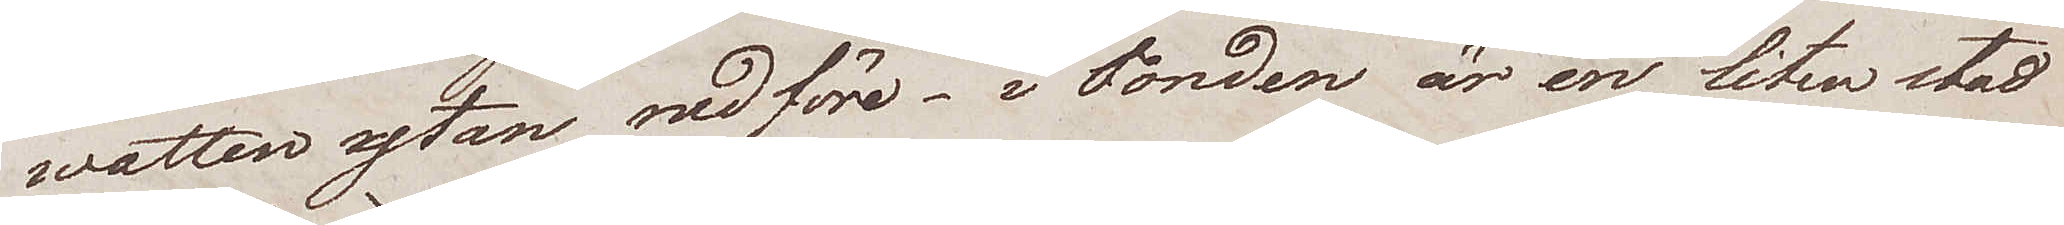watten ytan nedföre. I Fonden är en liten stad
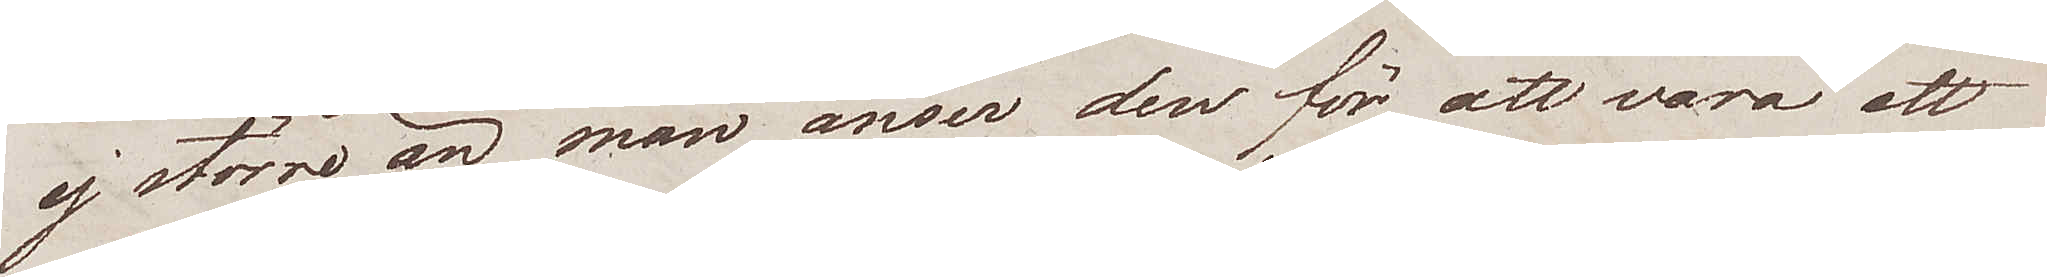ej större än man anser den för att vara ett
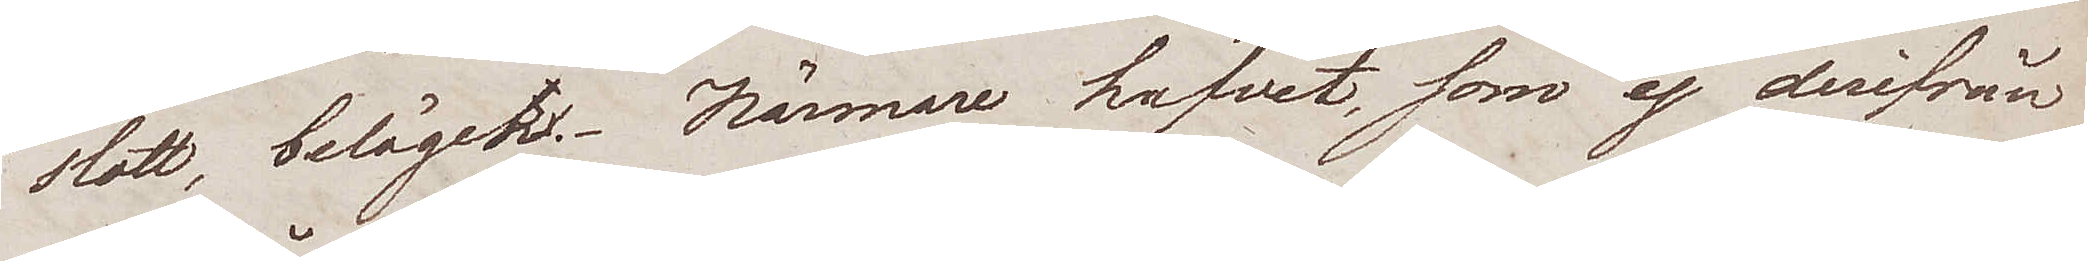slott, beläget. Närmare hafvet, som ej derifrån
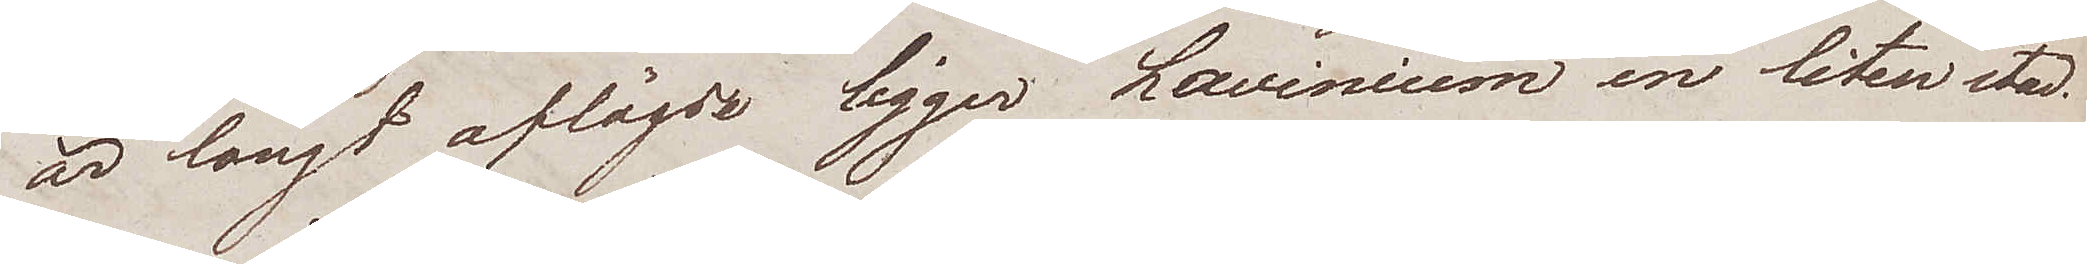är långt aflägse ligger Lavinium en liten stad.
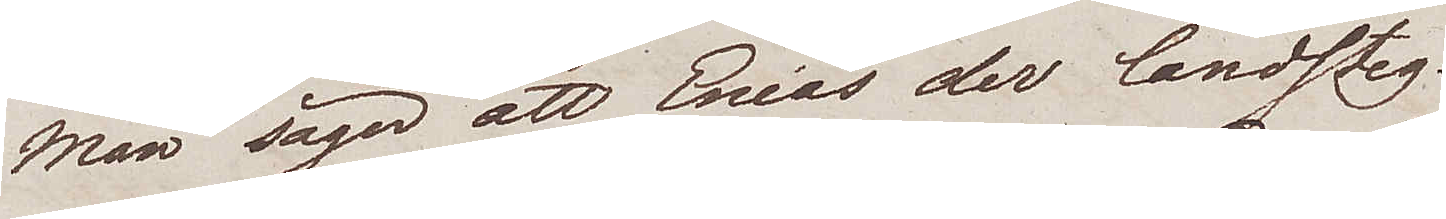Man säger att Eneas der landsteg.
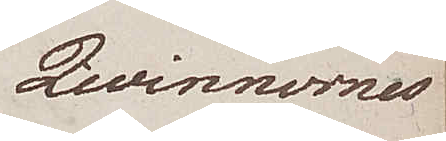Qwinnornes
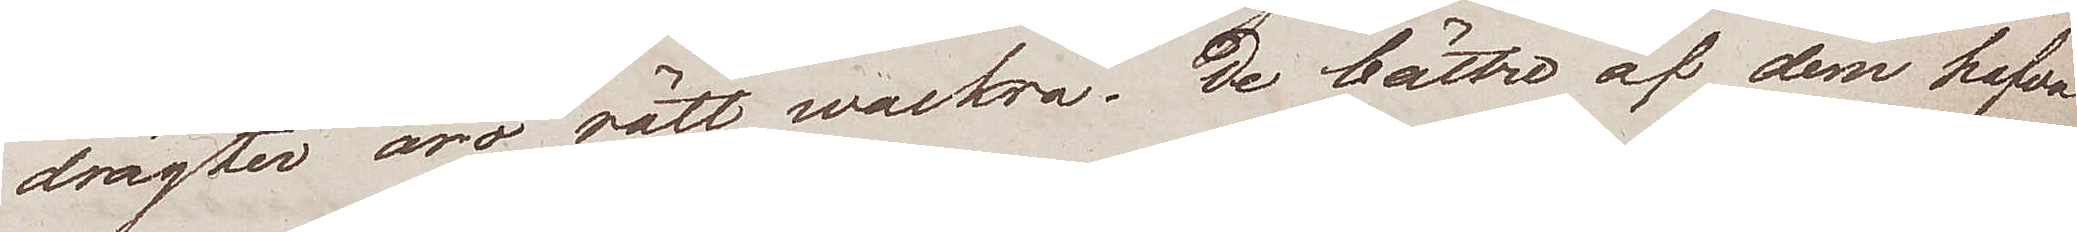drägter äro rätt wackra. De bättre af dem hafva
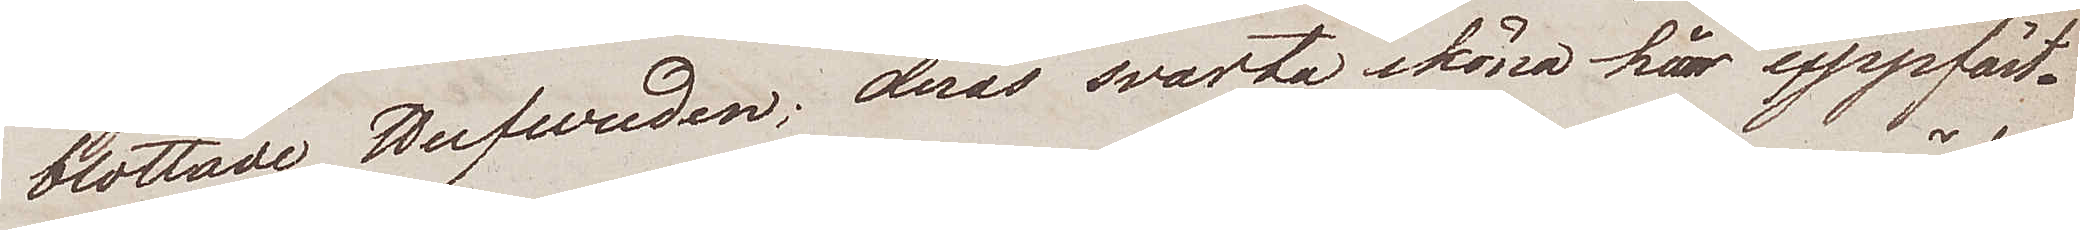blottade Hufvuden; deras svarta sköna här uppfäst¬
